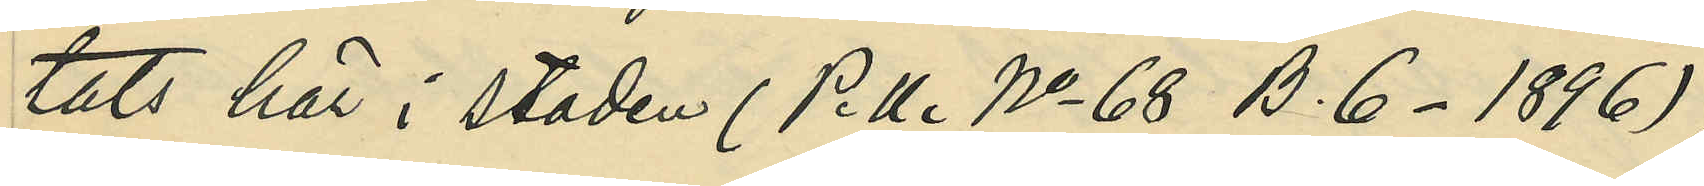tats här i staden (P. U. No 68 B. 6 - 1896);
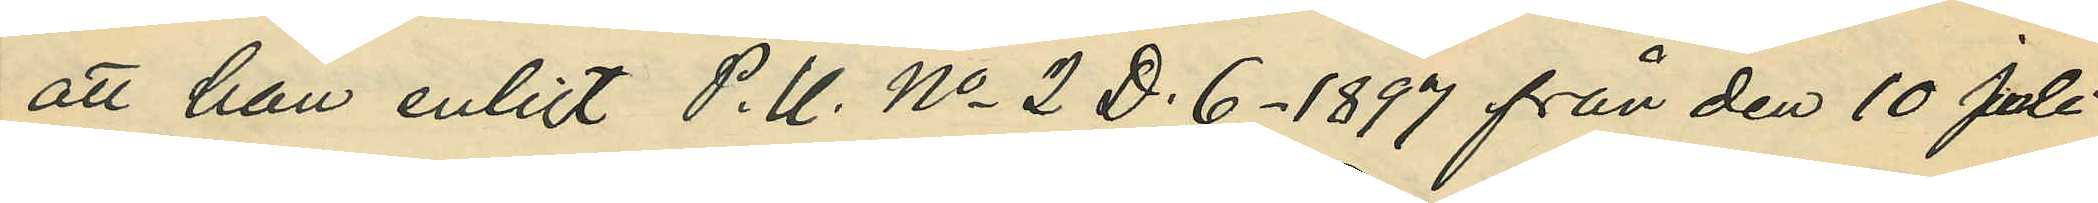att han enligt P. U. No 2 D. 6 - 1897 från den 10 Juli
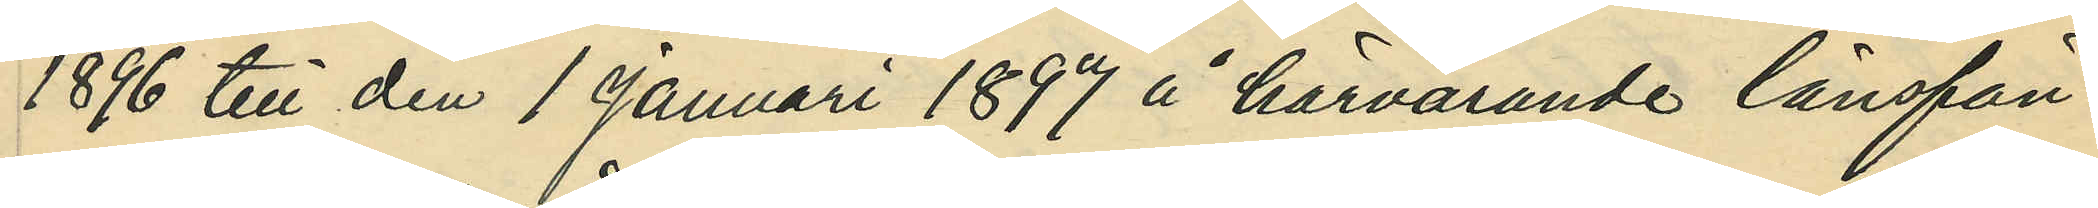1896 till den 1 Januari 1897 å härvarande länsfän¬
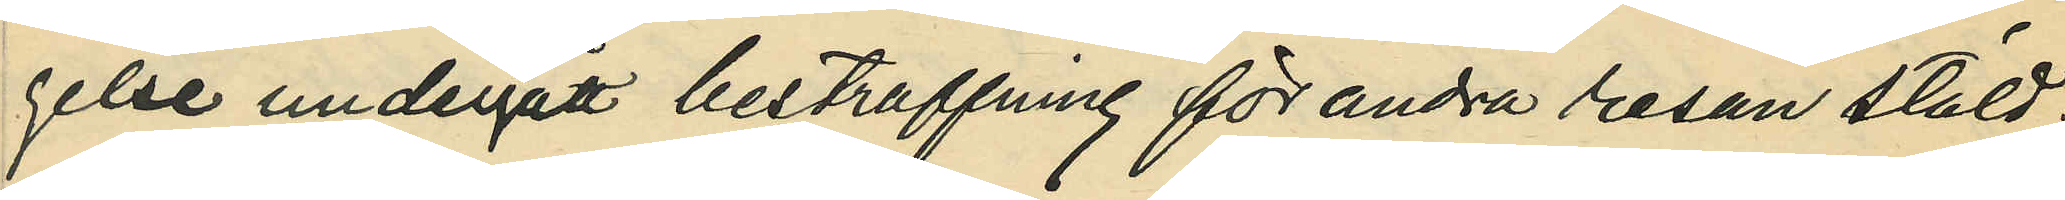gelse undergått bestraffning för andra resan stöld;
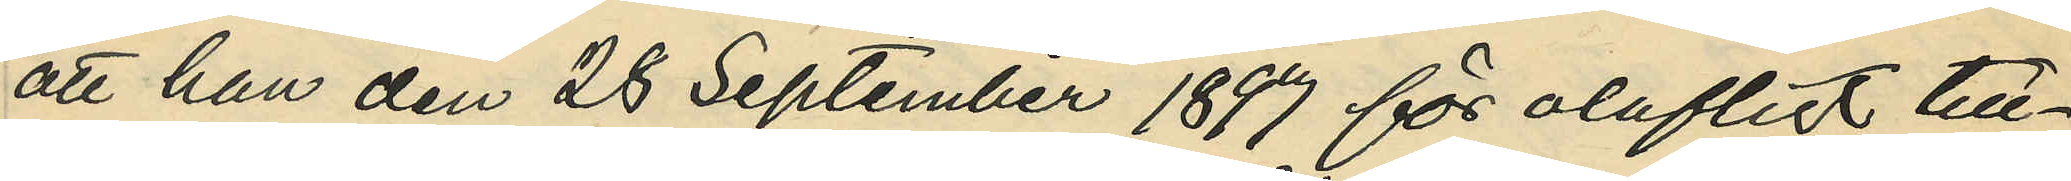att han den 28 September 1897 för olofligt till¬
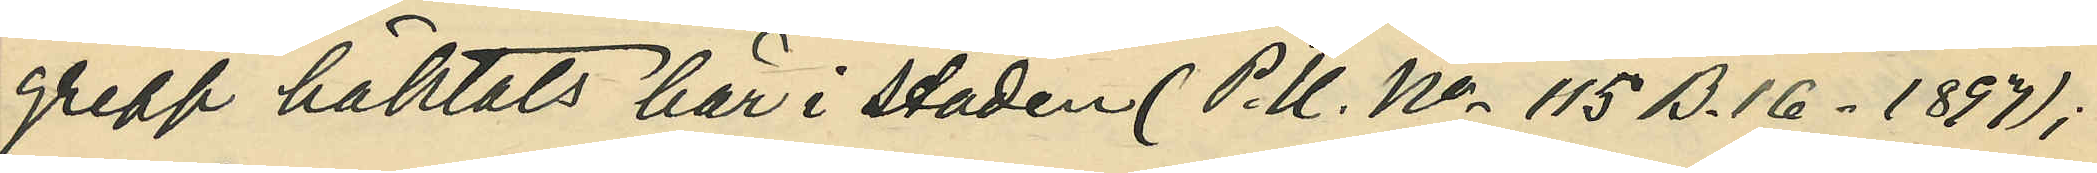grepp häktats här i staden (P. U. No 115 B. 16 - 1897);
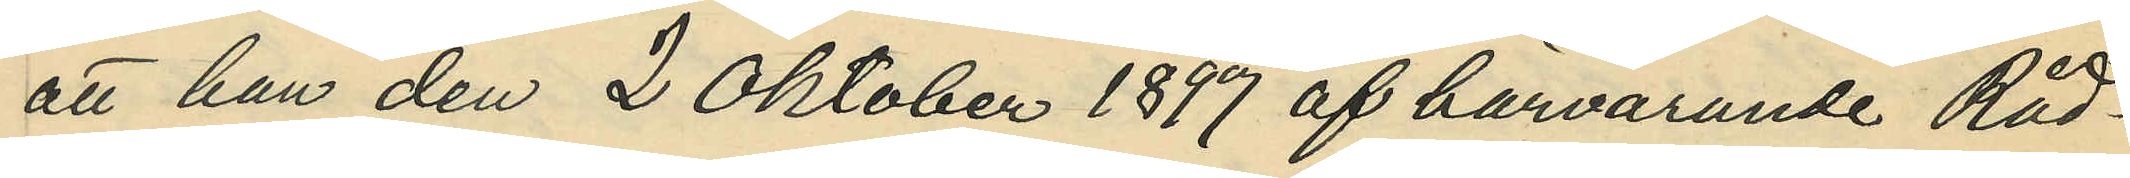att han den 2 Oktober 1897 af härvarande Råd¬
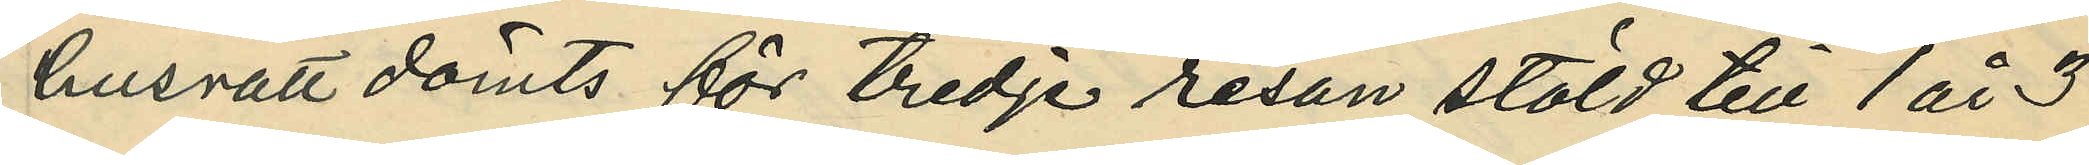husrätt dömts för tredje resan stöld till 1 år 3
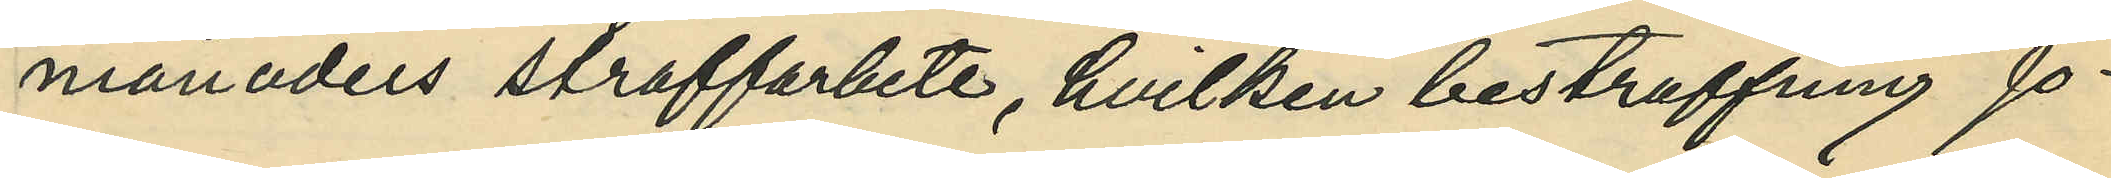månaders straffarbete, hvilken bestraffning Jo¬
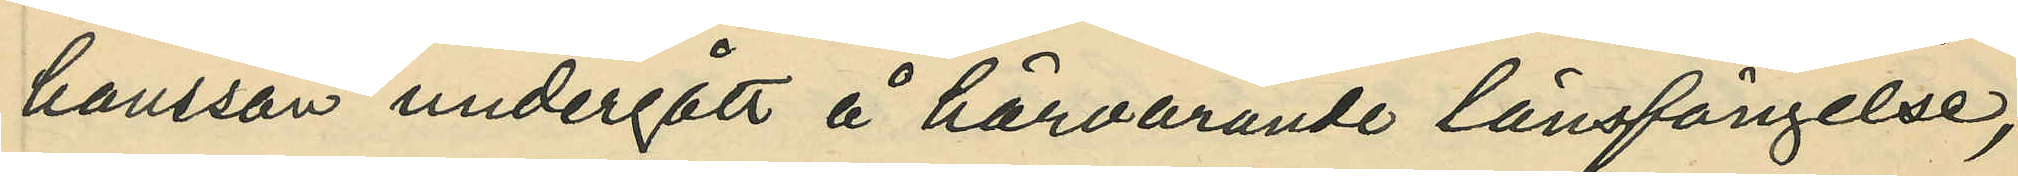hansson undergått å härvarande länsfängelse,
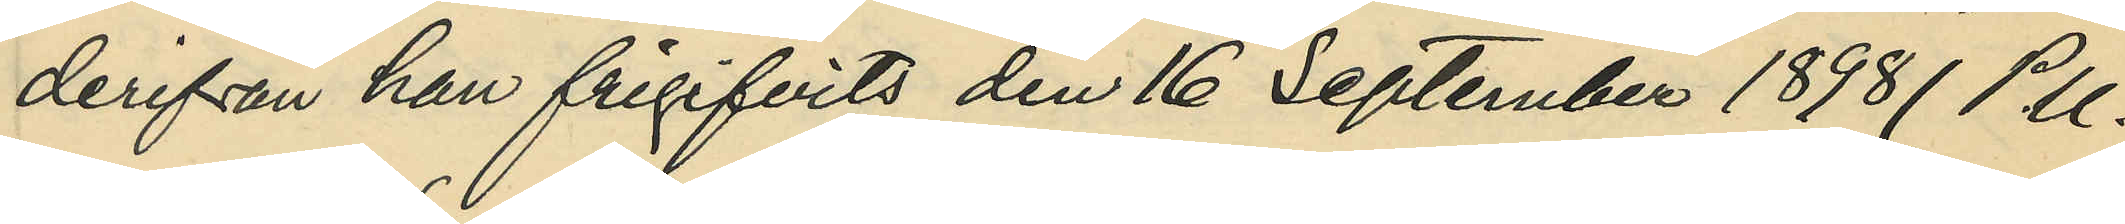derifrån han frigifvits den 16 September 1898 (P. U.
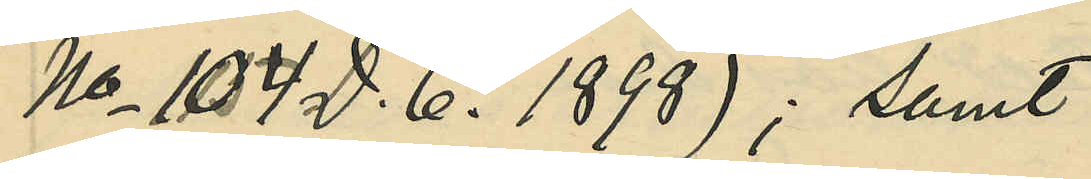No 104 D. 6. 1898); samt
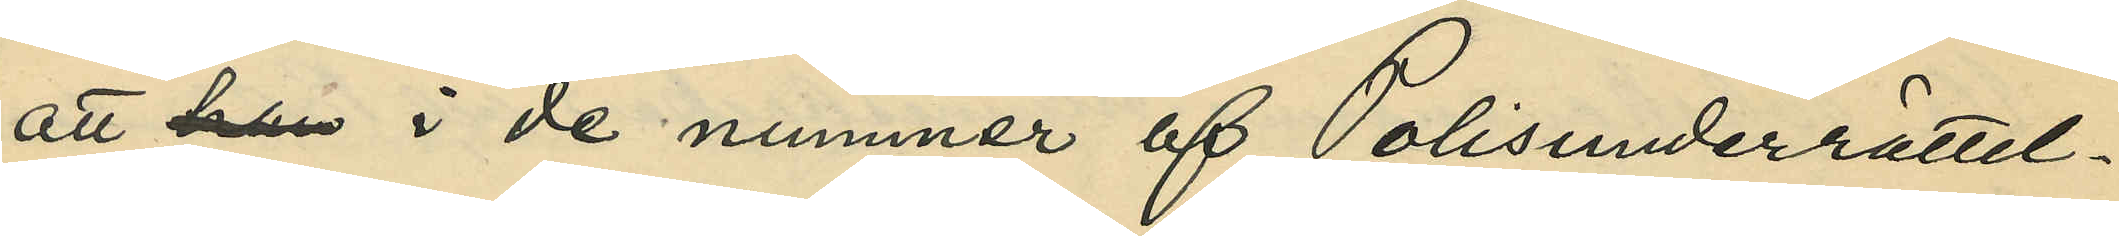att han i de nummer af Polisunderrättel¬
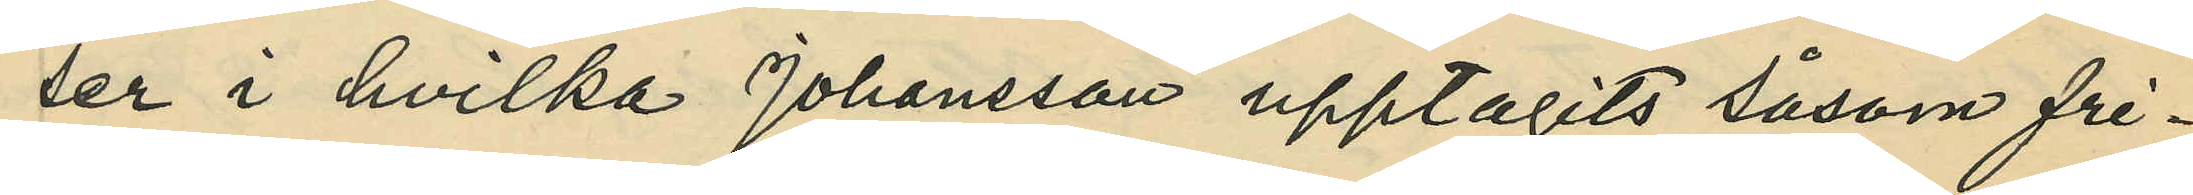ser i hvilka Johansson upptagits såsom fri¬
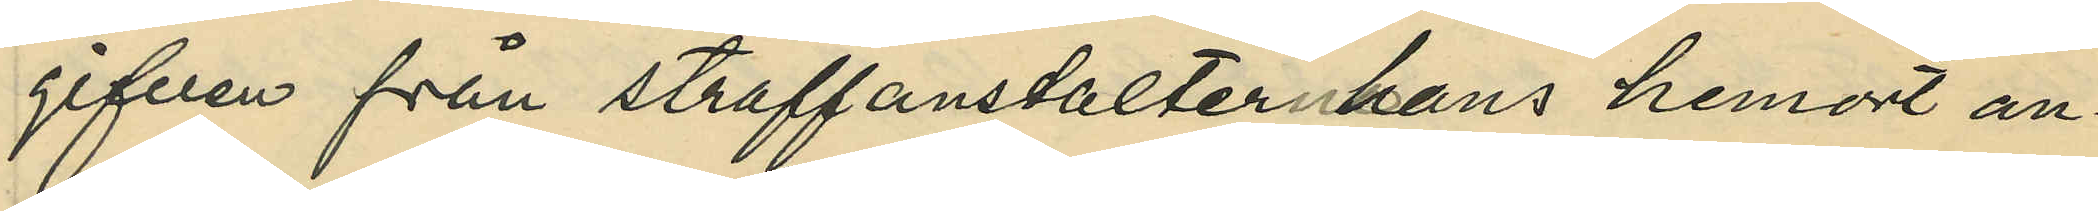gifven från straffanstalter hans hemort an¬
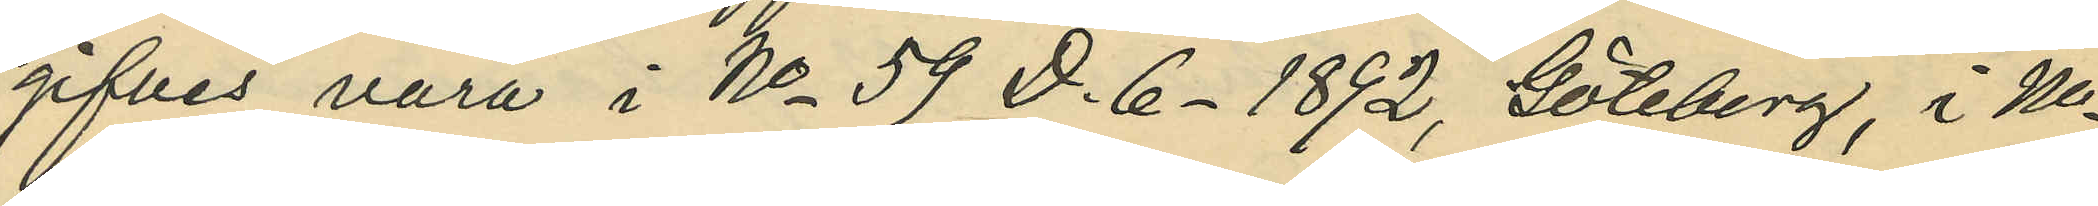gifves vara i No 59 D. 6 - 1892, Göteborg, i No
